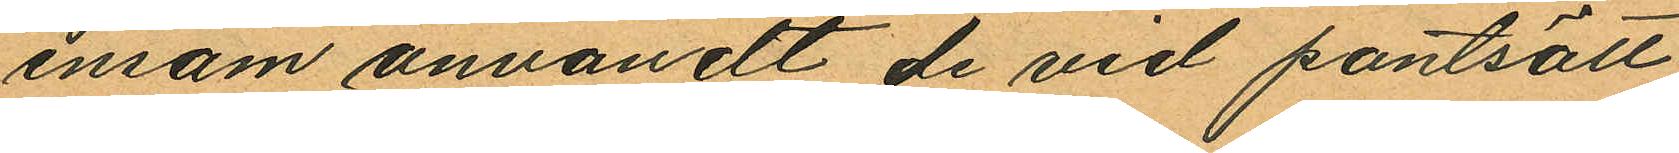ensam anvandt de vid pantsatt
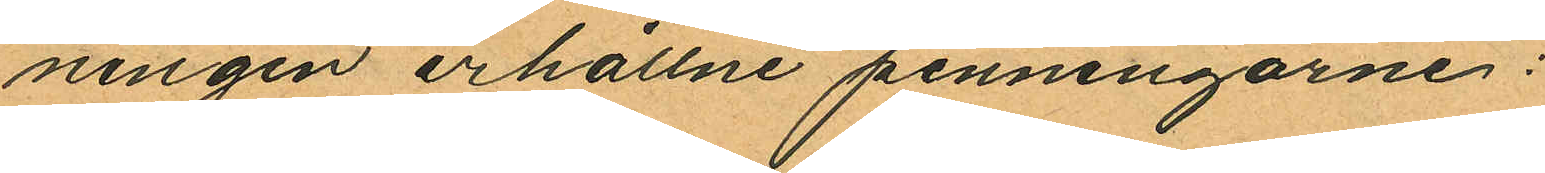ningen erhållne penningarne:
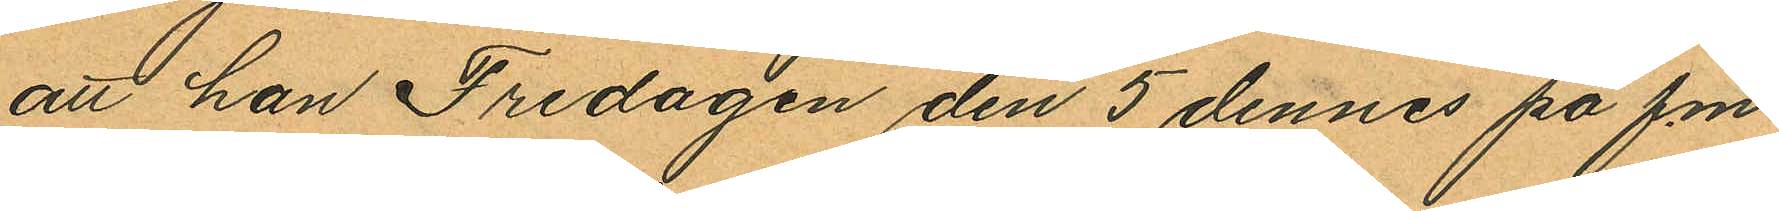att han Fredagen den 5 dennes på f.m.
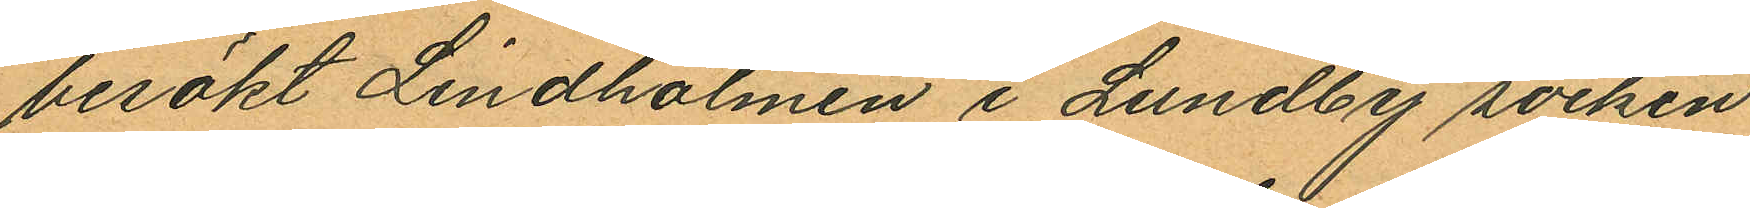besökt Lindholmen i Lundby socken
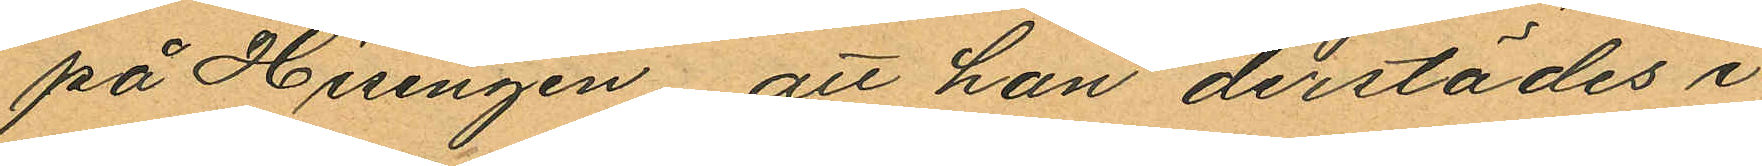på Hisingen att han derstädes i
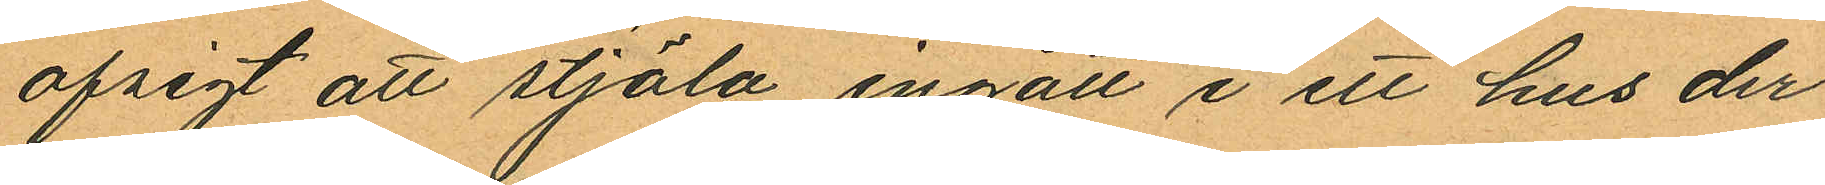afsigt att stjäla ingått i ett hus der
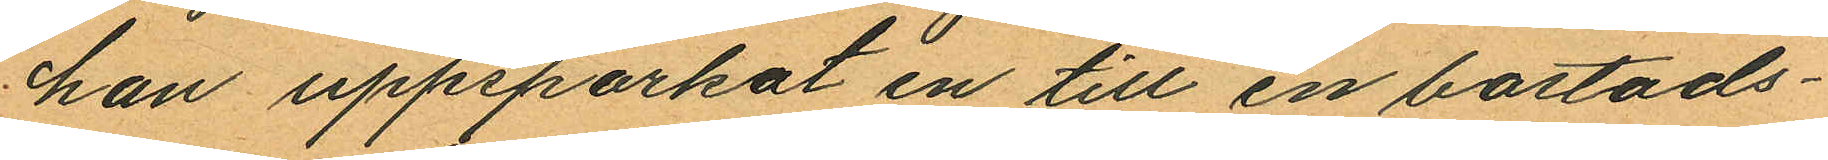han uppsparkat en till en bostads¬
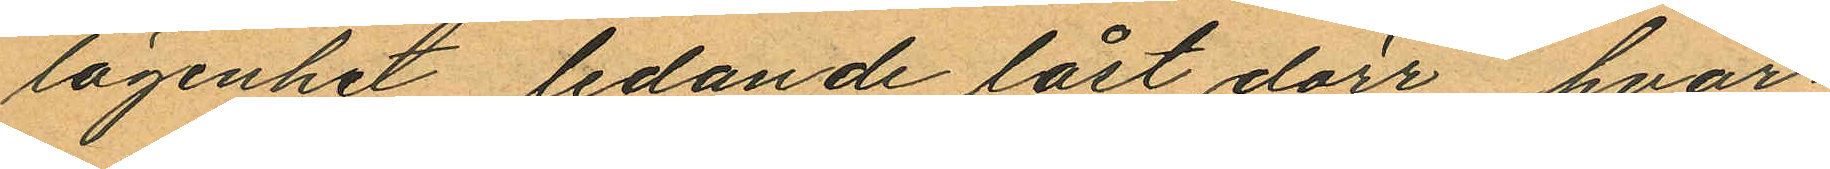lägenhet ledande låst dörr, hvar¬
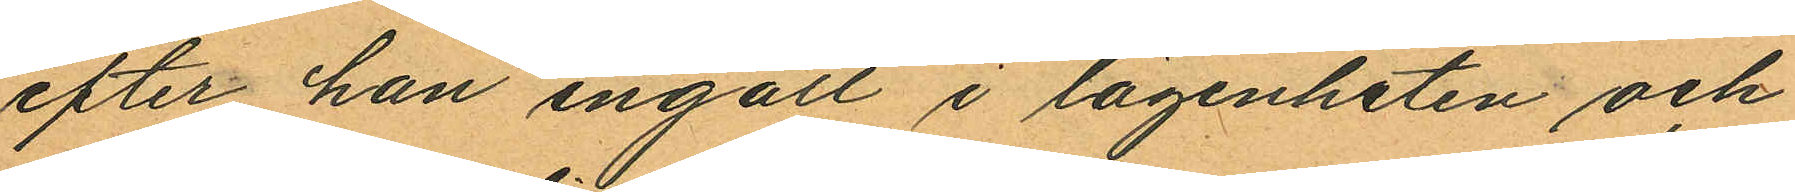efter han ingått i lägenheten och
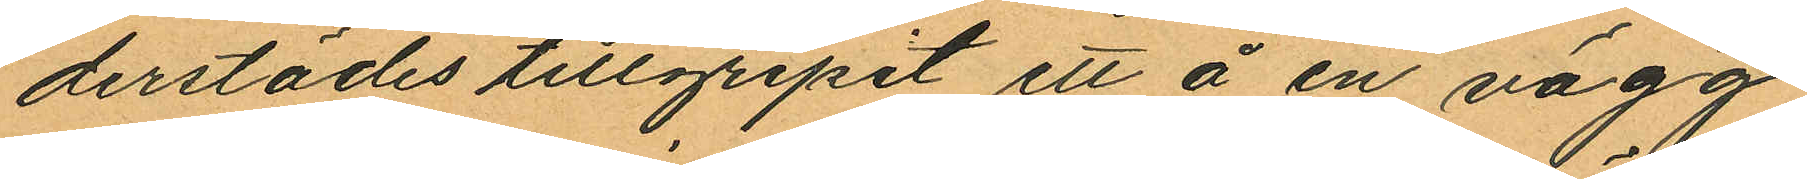derstädes tillgripit ett å en vägg
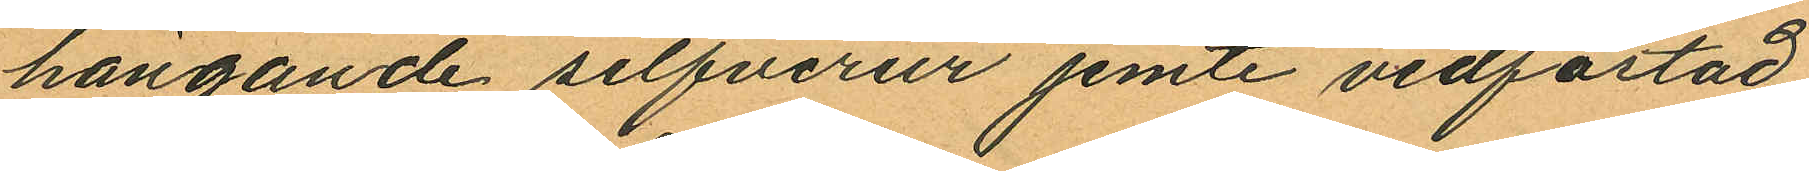hängande silfverur jemte vidfästad
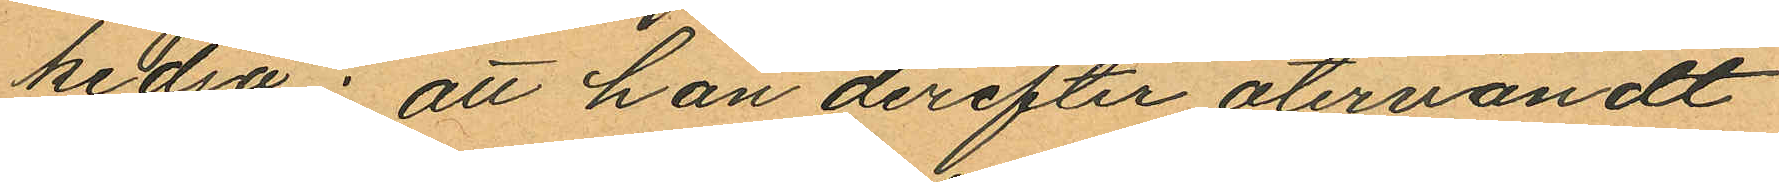kedja: att han derefter återvändt
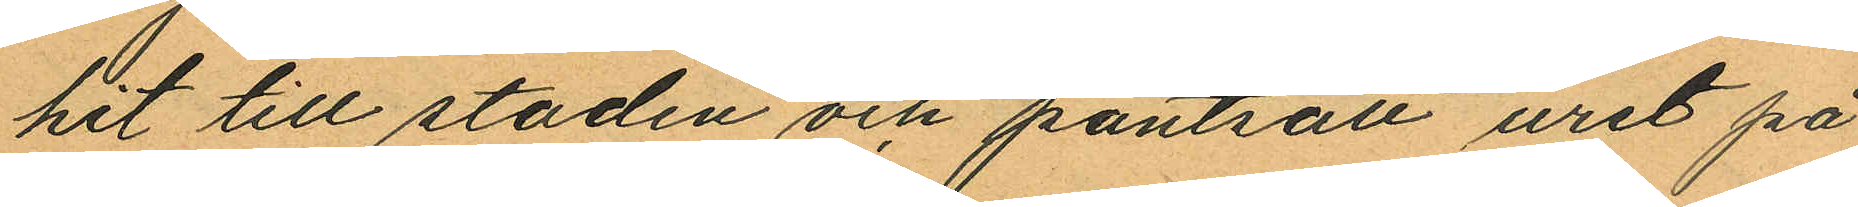hit till staden och pantsatt uret på
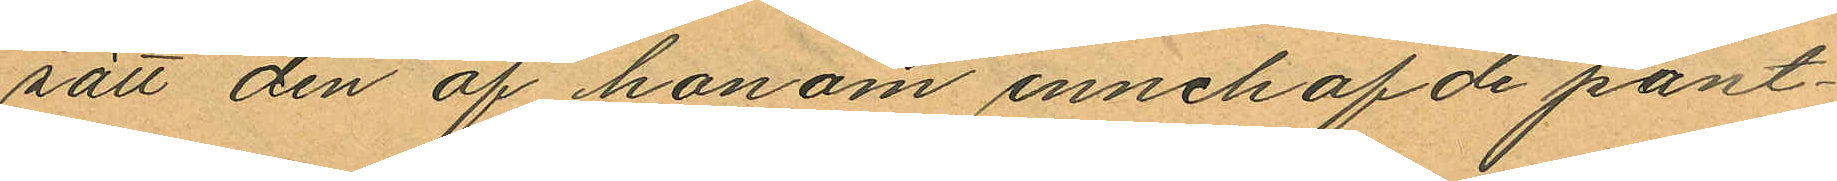sätt den af honom innehafde pant¬
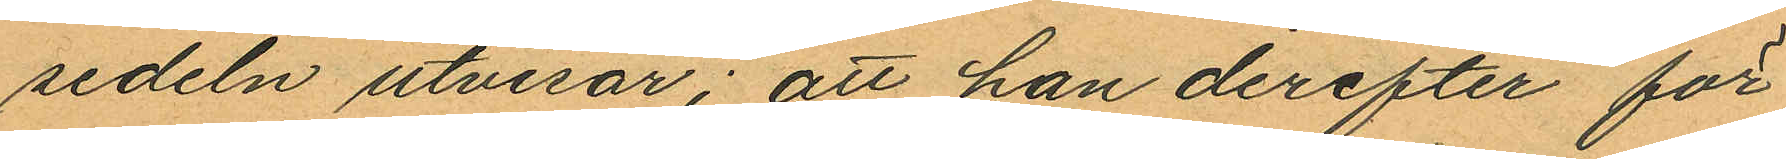sedeln utvisar; att han derefter för
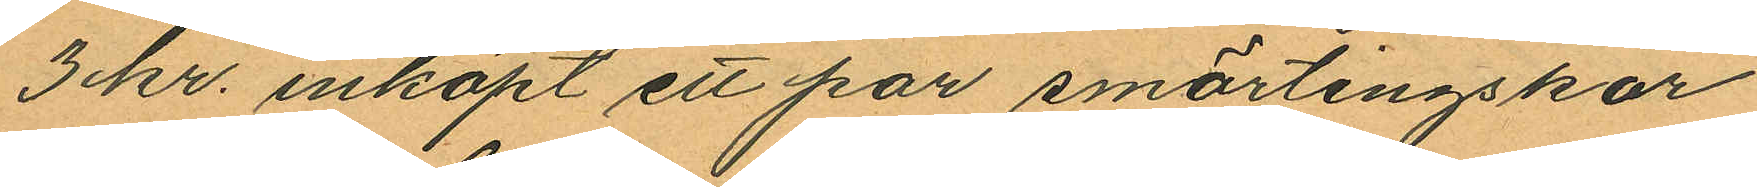3 kr. inköpt ett par smärtingskor
